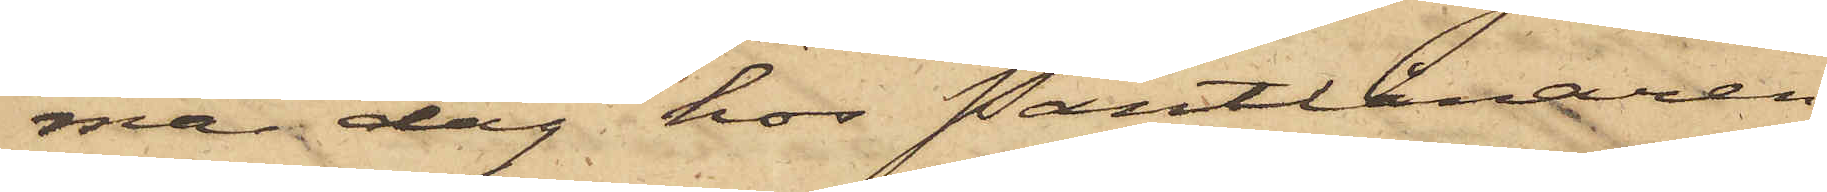ma dag hos Pantlånaren
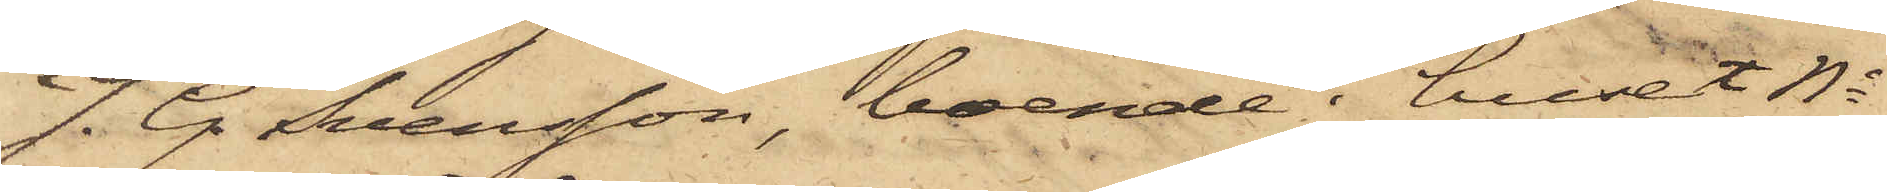J. G. Svensson, boende i huset No
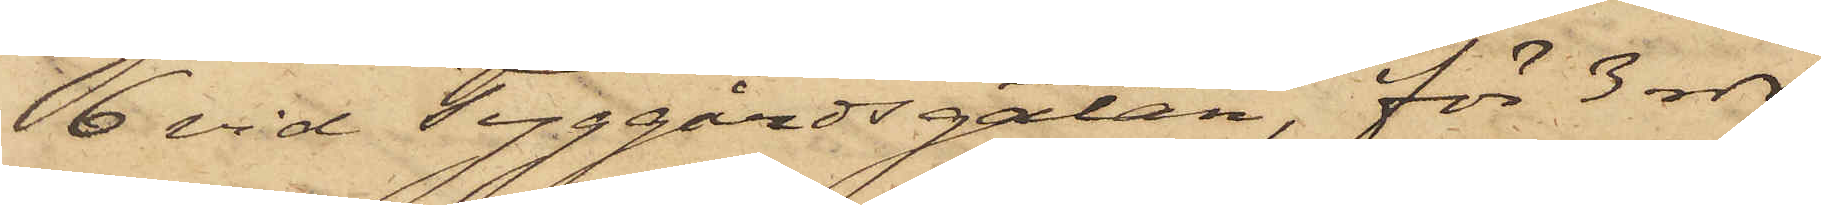6 vid Tyggårdsgatan, för 3 rdr
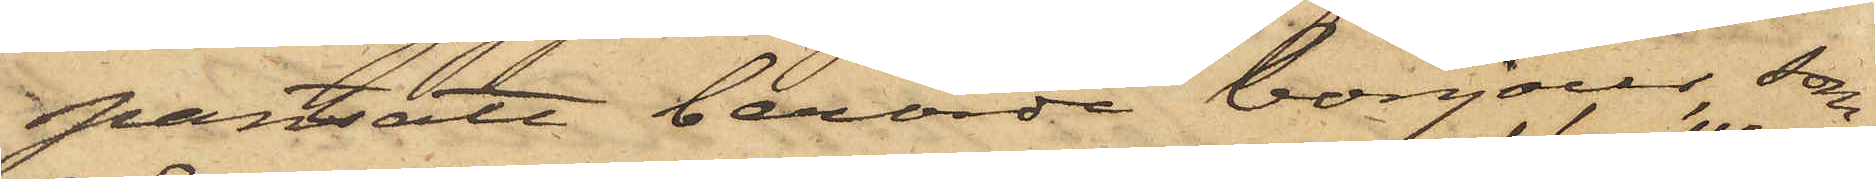pantsatt berörde bonjour, som
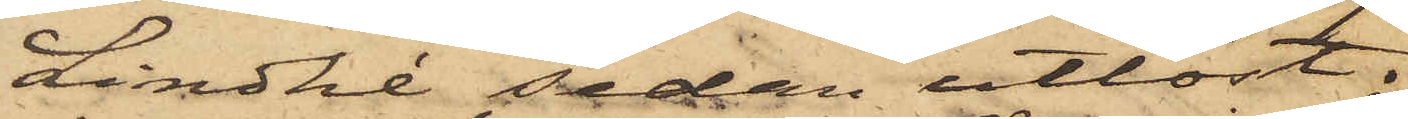Lindhé sedan utlöst;
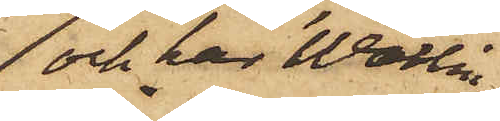och har Wallin
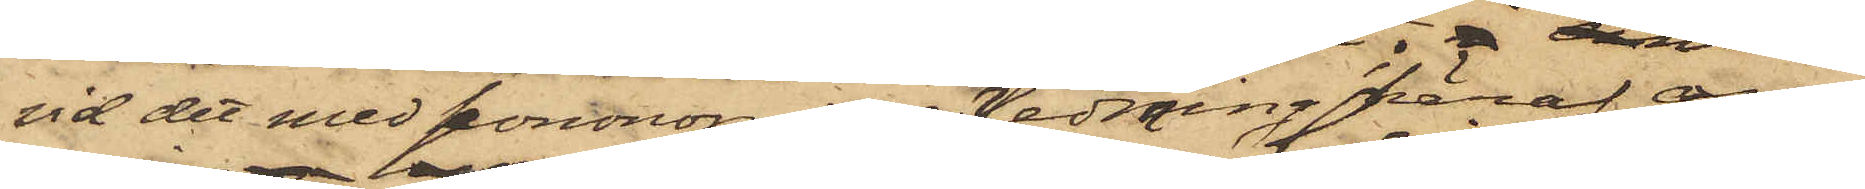vid det med honom i anledning häraf an¬
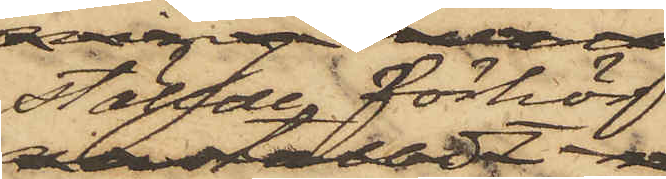anställde förhör
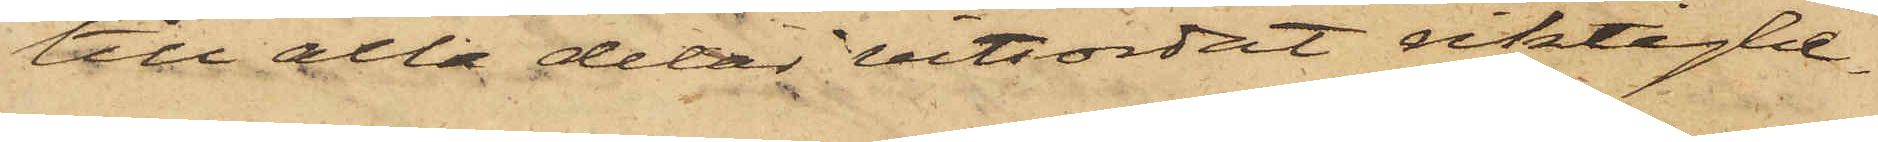till alla delar vitsordat riktighe¬
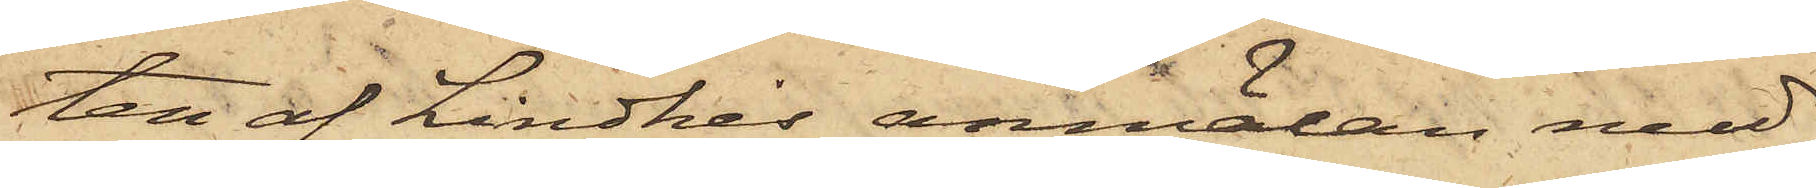ten af Lindhés anmälan med
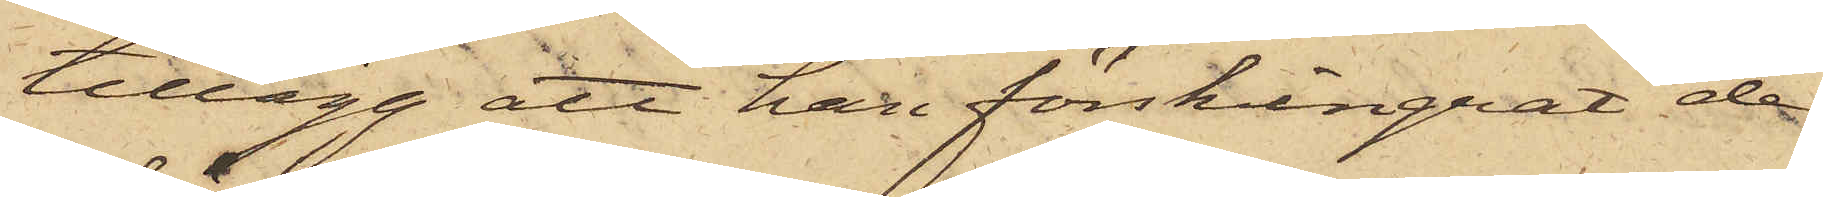tillägg att han förskingrat de
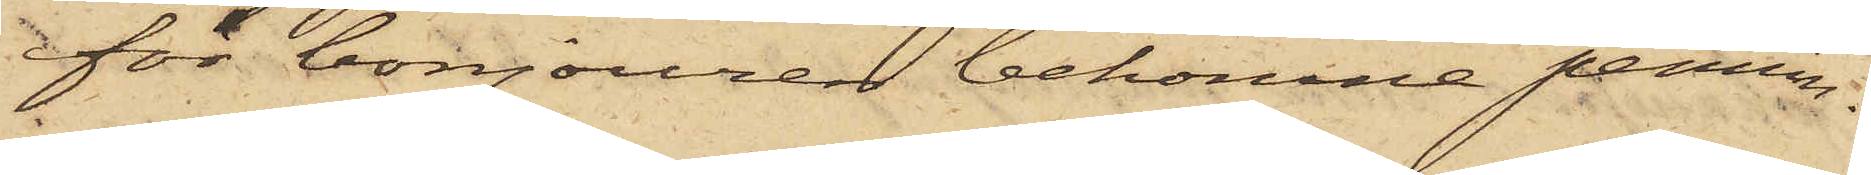för bonjouren bekomne pennin¬
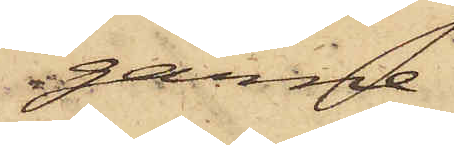garne.
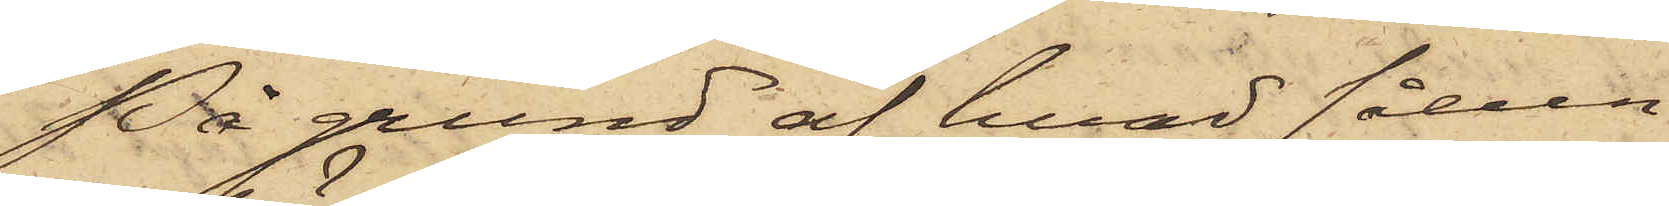På grund af hvad sålun¬
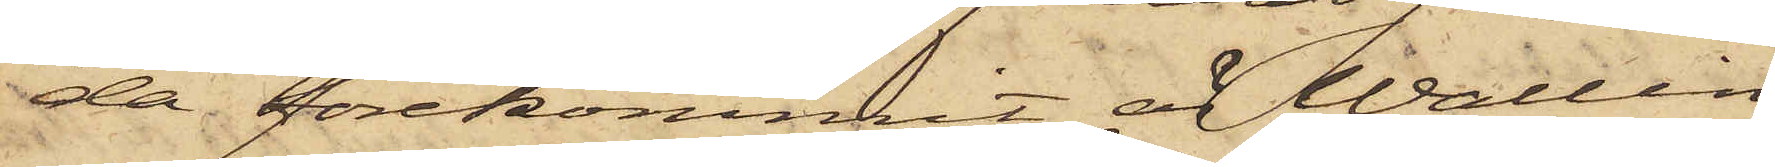da förekommit, är Wallin
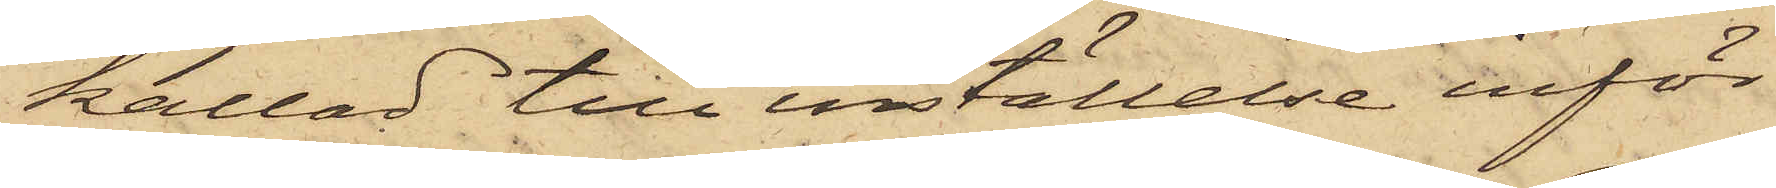kallad till inställelse inför
